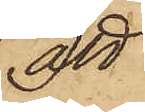att
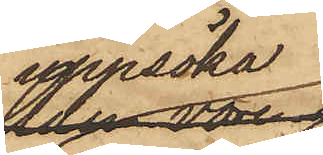uppsöka
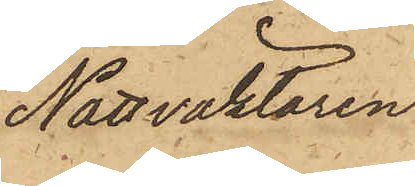Nattväktaren
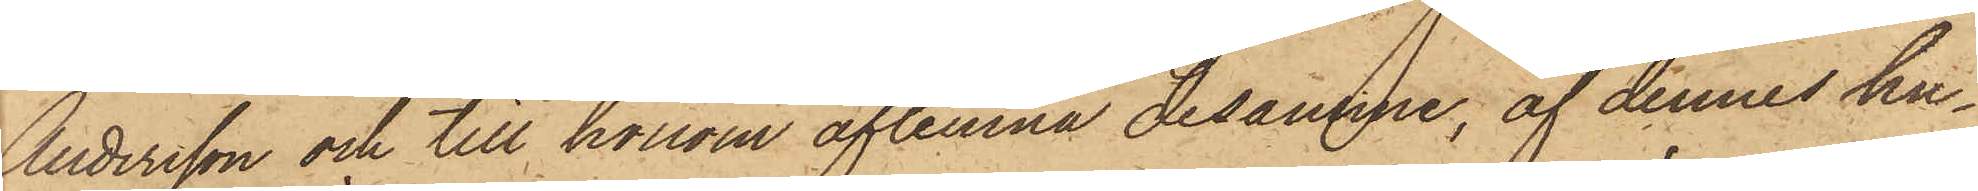Andersson och till honom aflemna desamme, af dennes hu¬
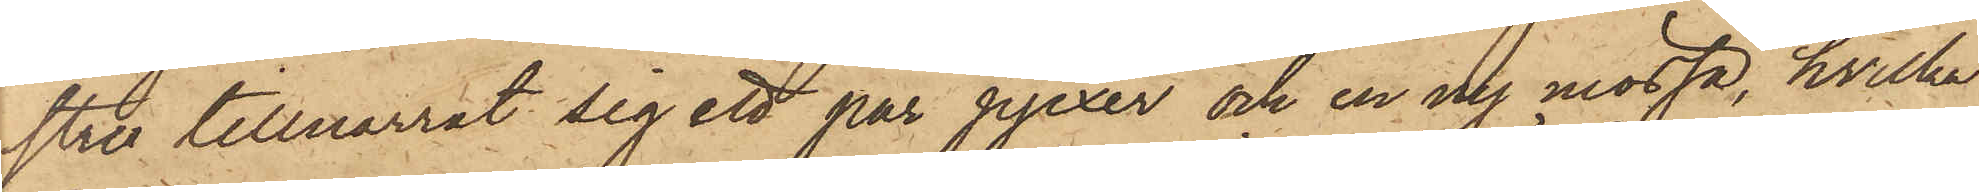stru tillnarrat sig ett par pjexer och en ny mössa, hvilka
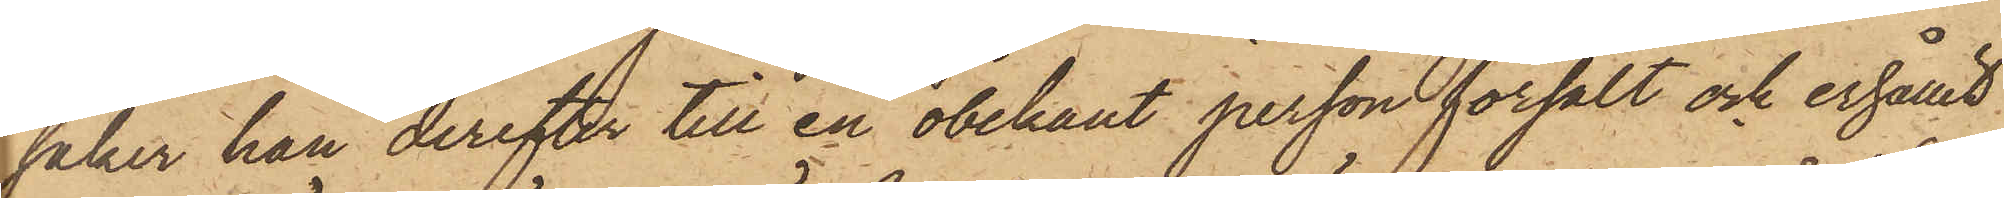saker han derefter till en obekant person försålt och erhållit
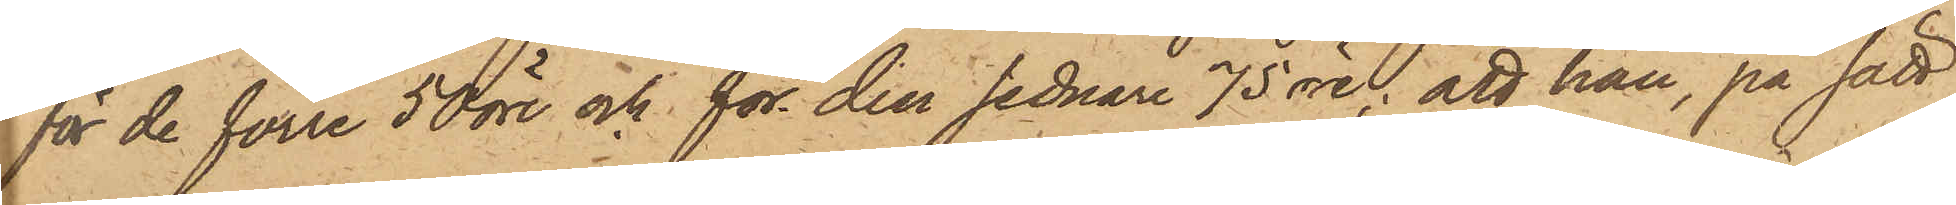för de förre 50 öre och för den sednare 75 öre; att han, på sätt
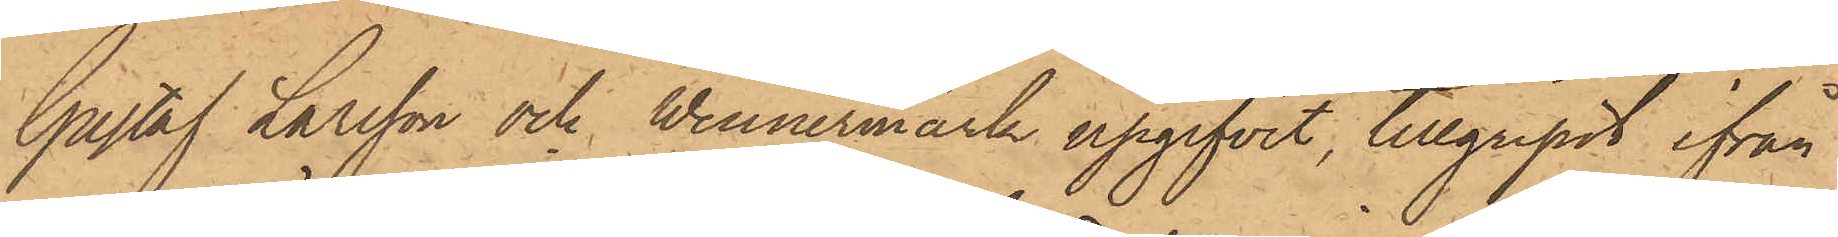Gustaf Larsson och Wennermark upgifvit, tillgripit ifrån
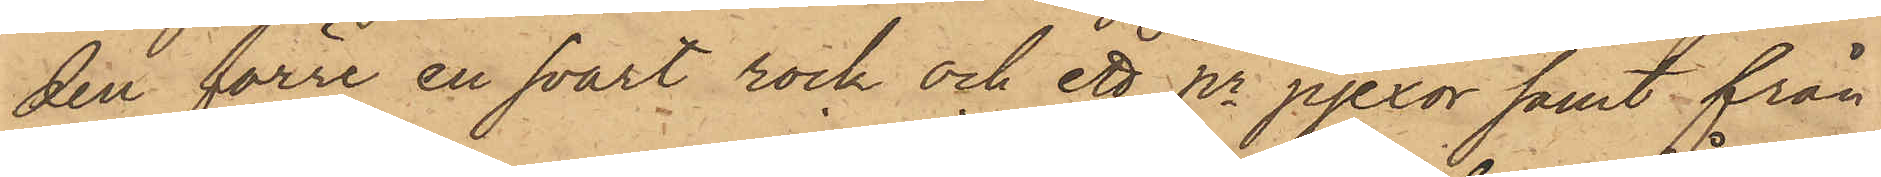den förre en svart rock och ett pr pjexor samt från
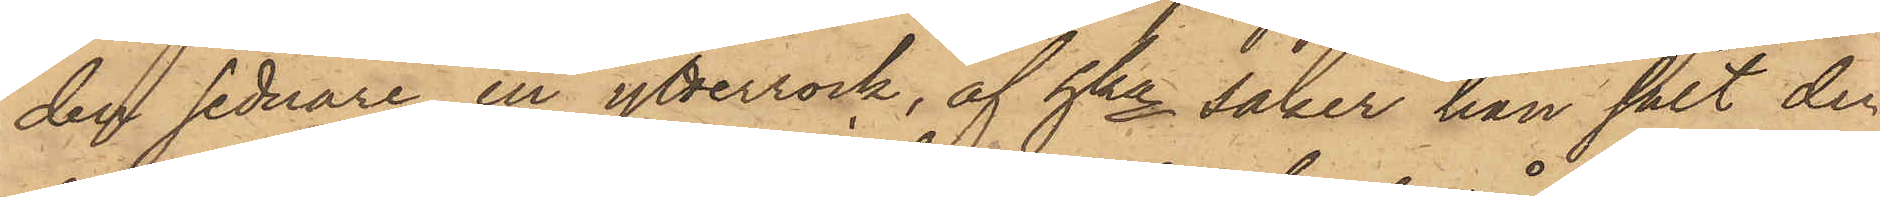den sednare en ytterrock, af hka saker han sålt den
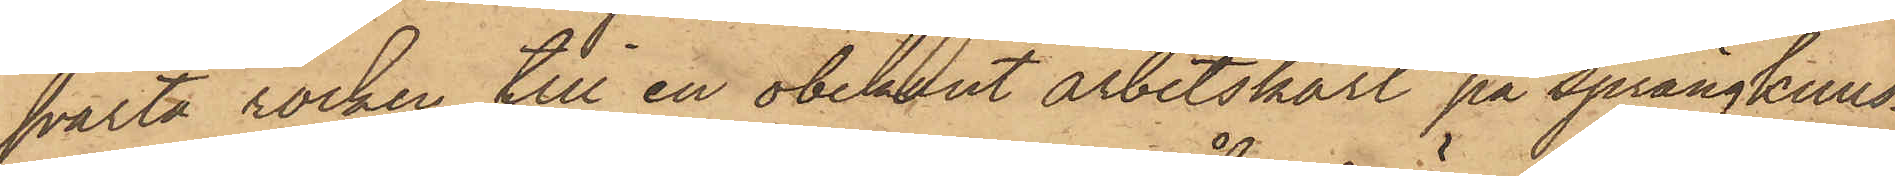svarta rocken till en obekant arbetskarl på Sprängkulls¬
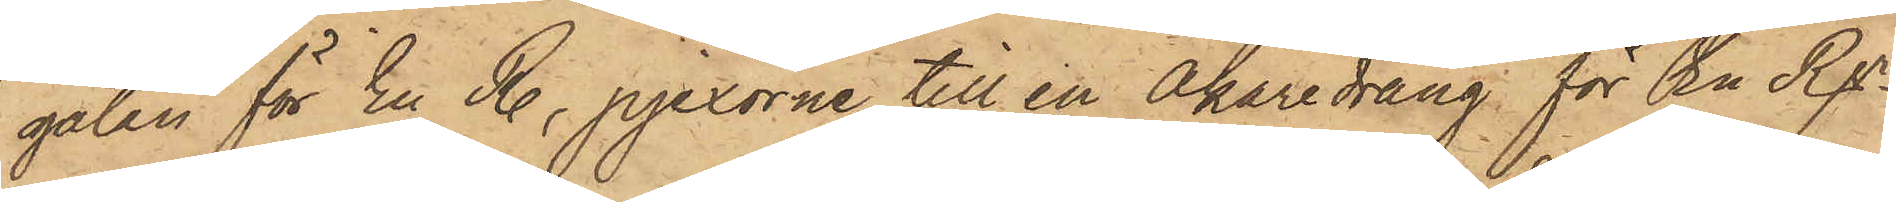gatan för En R., pjexorna till en Åkaredräng för En Rdr
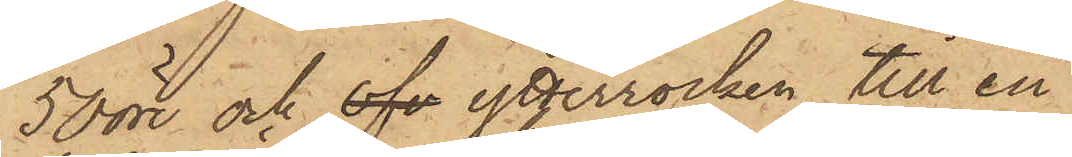50 öre och ofv ytterrocken till en
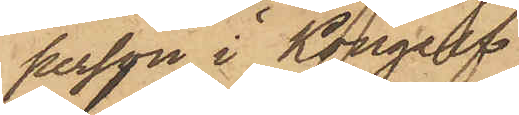person i Kongelf
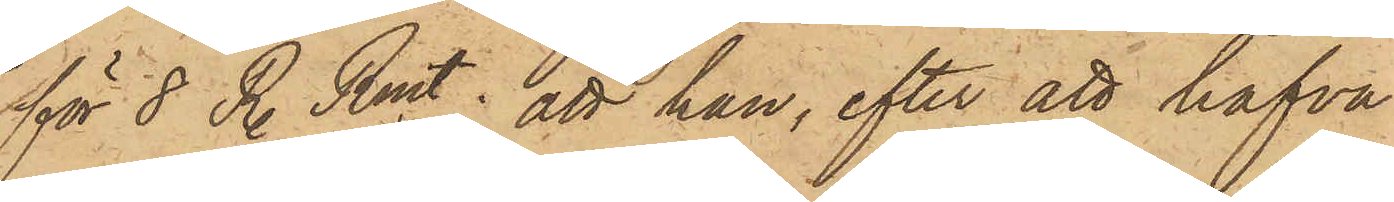för 8 R. Rmt; att han, efter att hafva
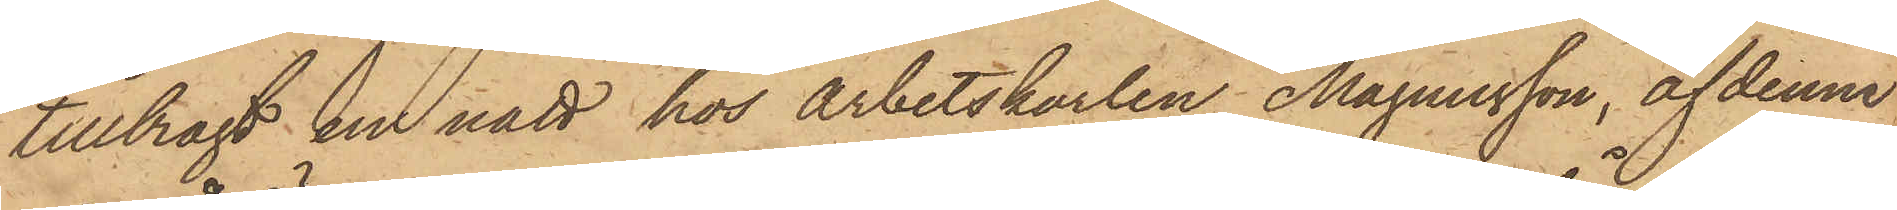tillbragt en natt hos arbetskarlen Magnusson, af denne
